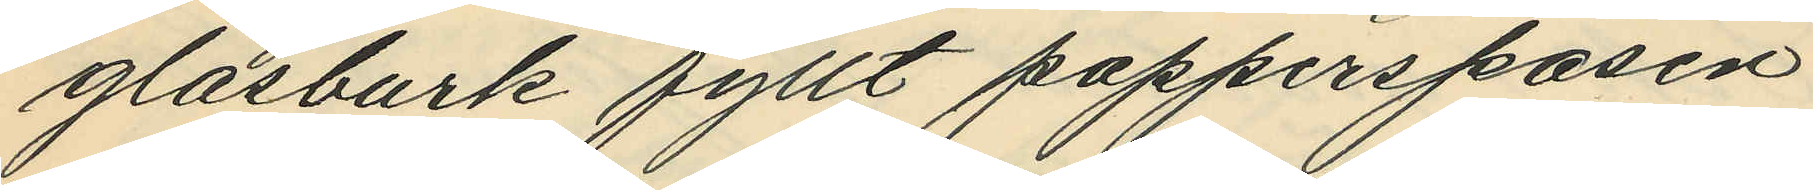glasburk fyllt papperspåsen
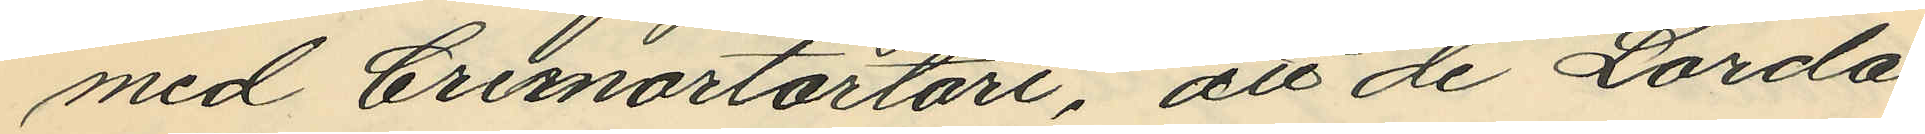med Cremortartari, att de Lörda¬
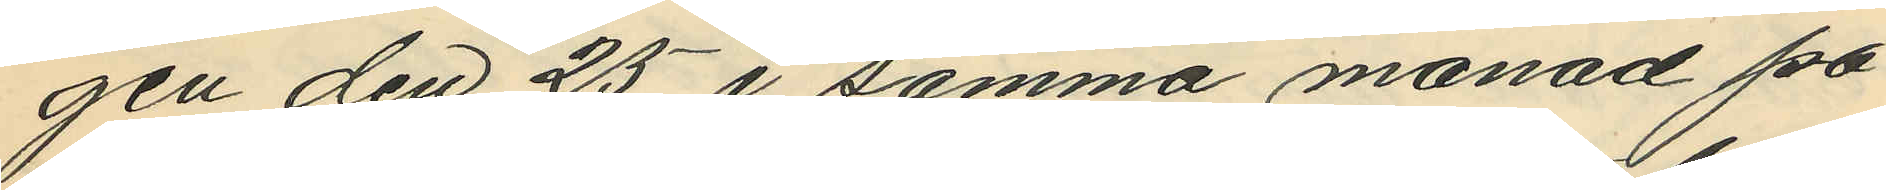gen den 25 i samma manad på
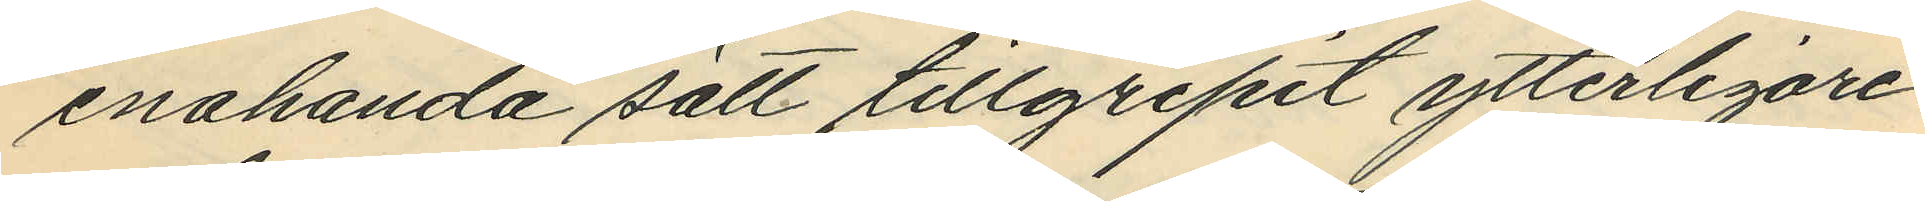enahanda sätt tillgripit ytterligare
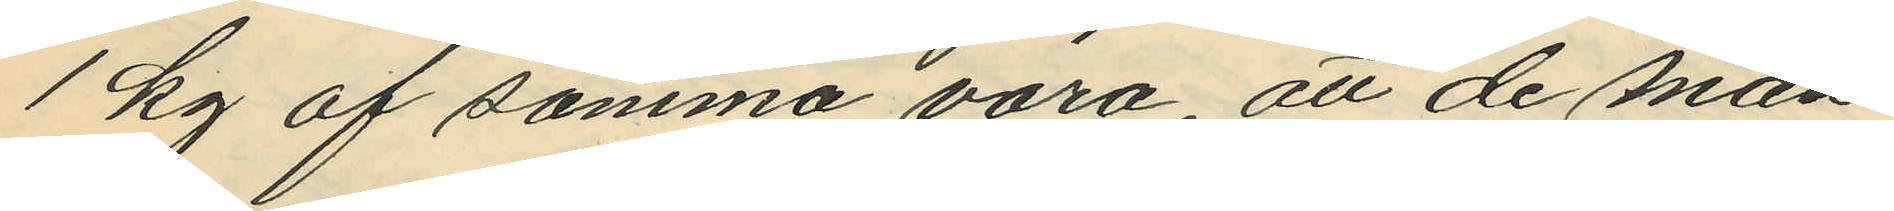1 kg af samma vara, att de mån¬
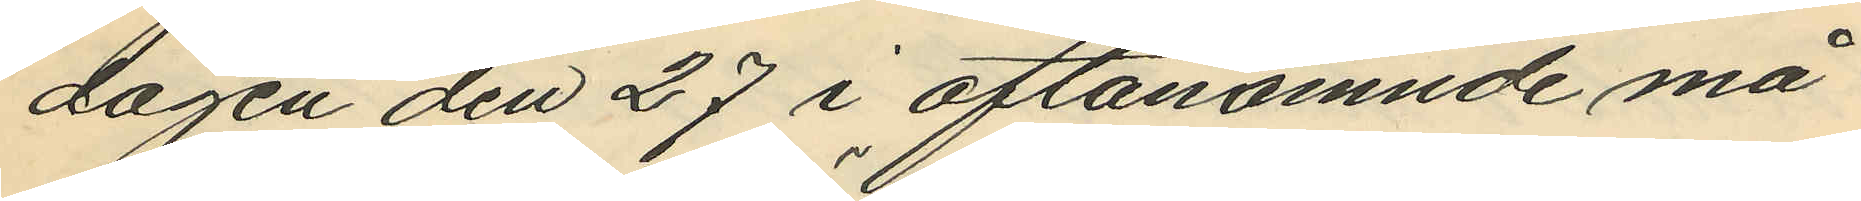dagen den 27 i oftanämnde må¬
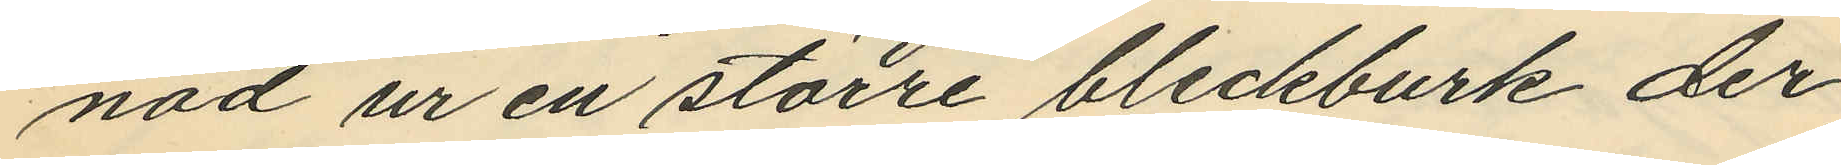nad ur en större bleckburk der¬
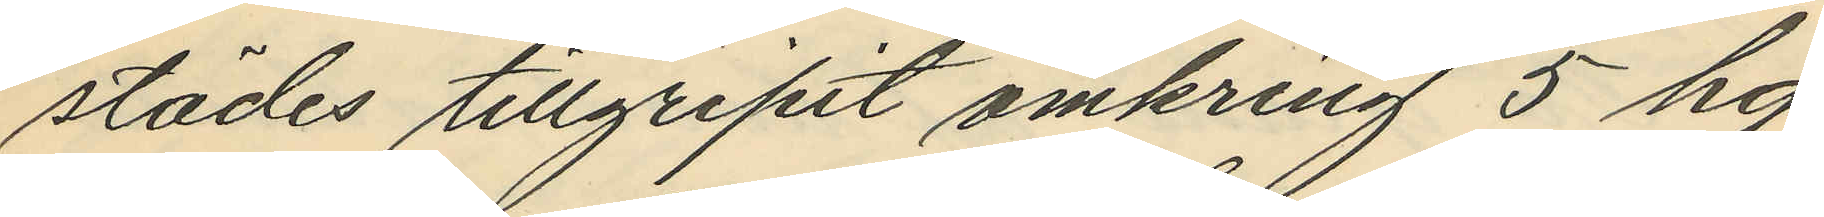städes tillgripit omkring 5 hg
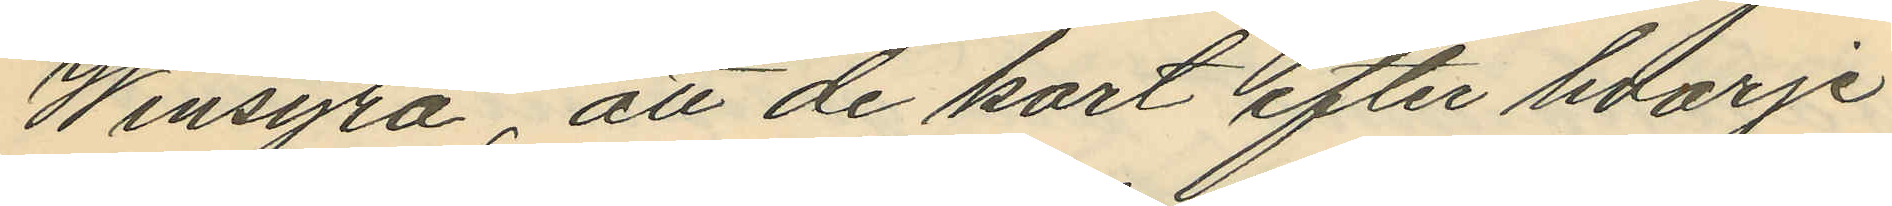Winsyra, att de kort efter hvarje
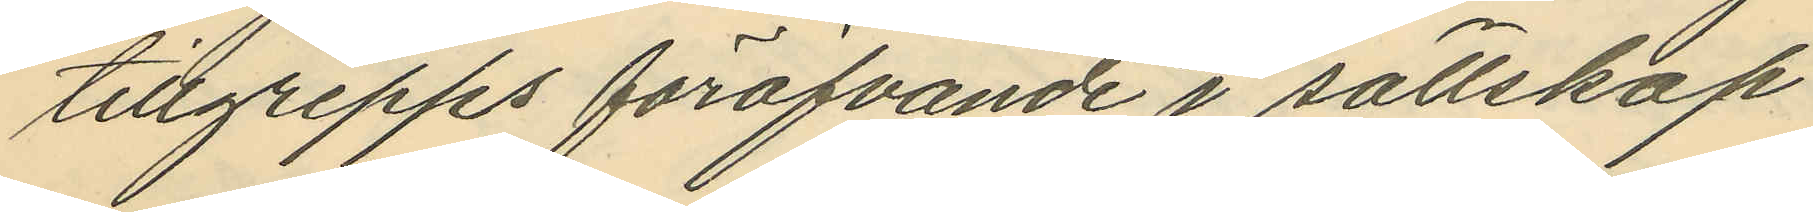tillgrepps föröfvande i sällskap
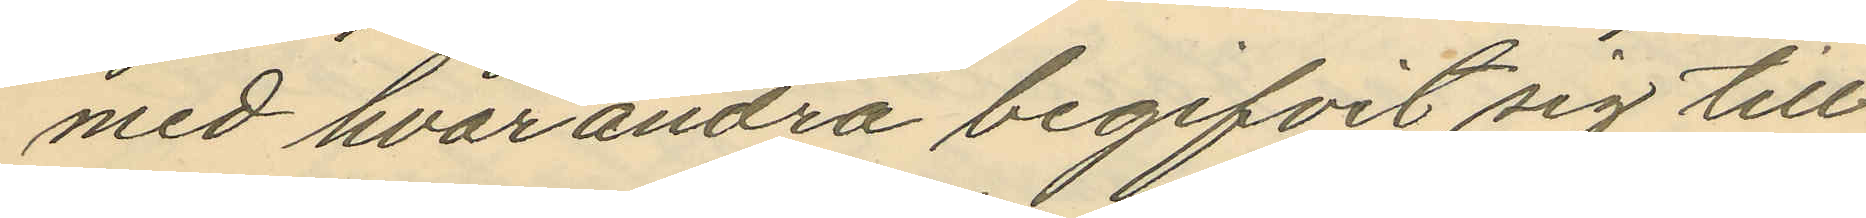med hvarandra begifvit sig till
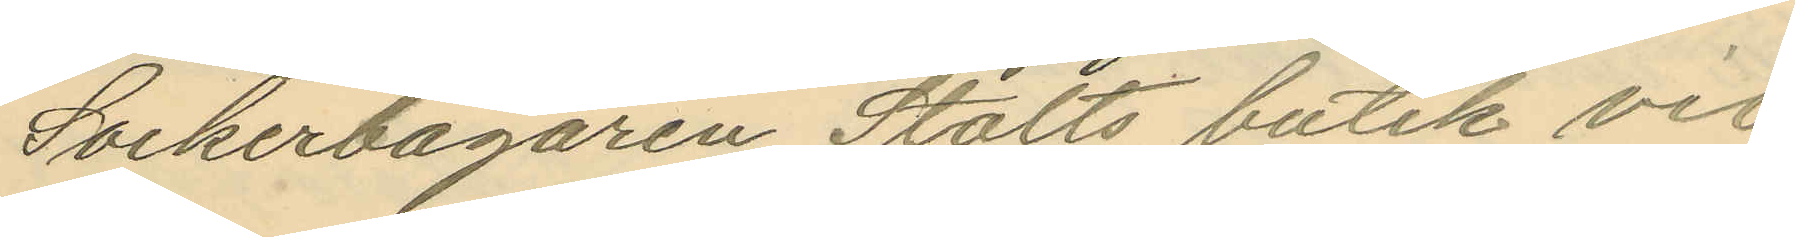Sockerbagaren Stolts butik vid
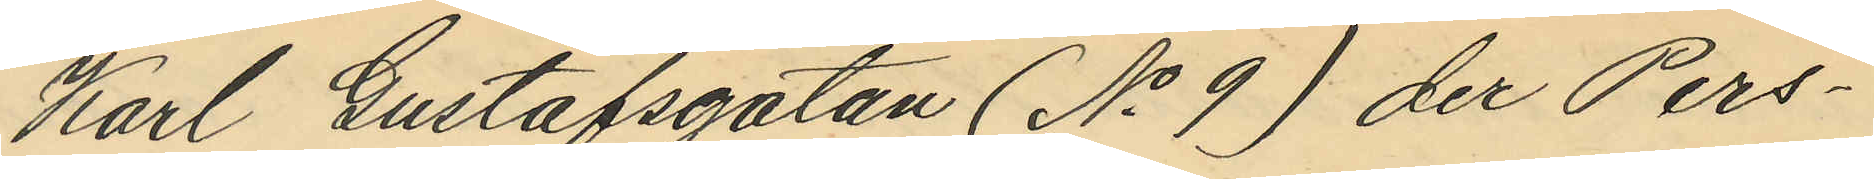Karl Gustafsgatan (No 9) der Pers¬
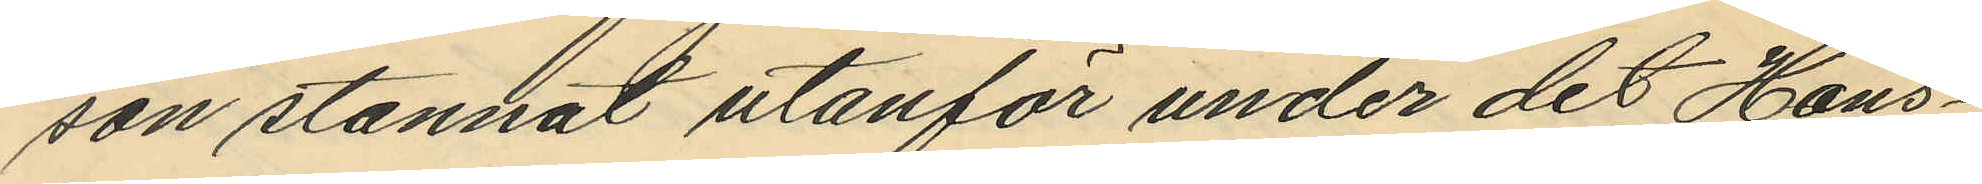son stannat utanför under det Hans¬
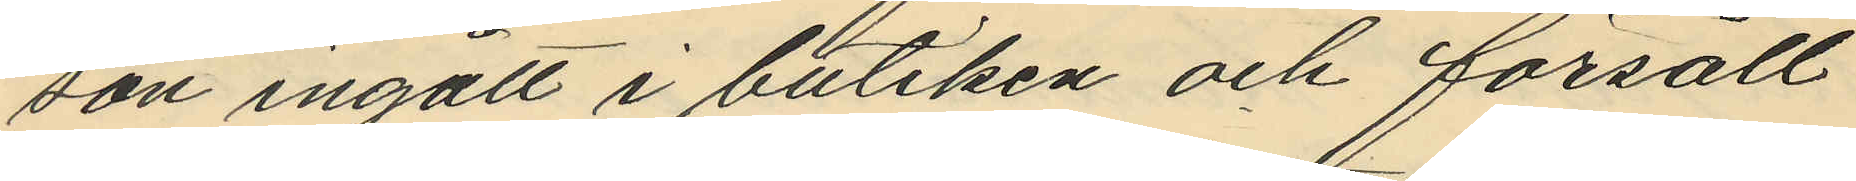son ingått i butiken och försålt
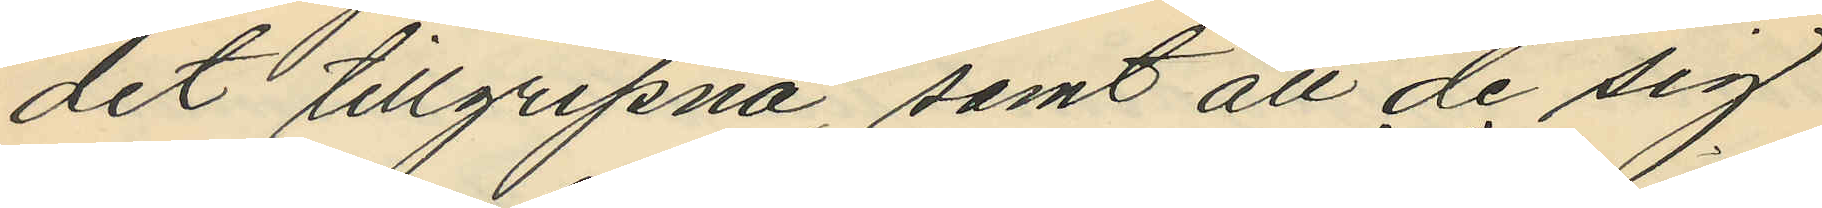det tillgripna, samt att de sig
